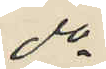do
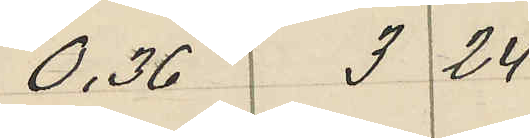0,36 3 24
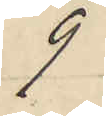9
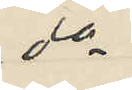do
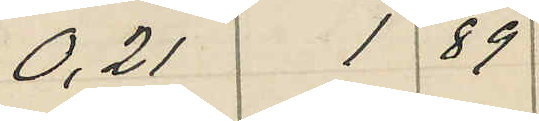0,21 1 89
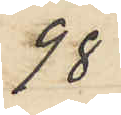98
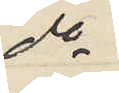do
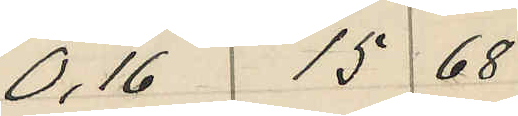0,16 15 68
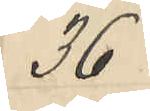36
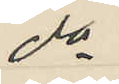do
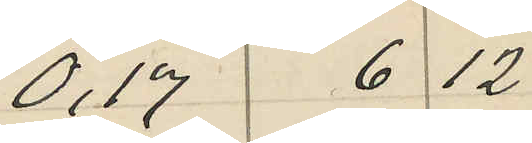0,17 6 12
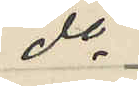do
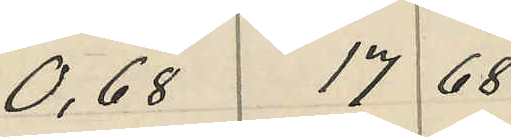0,68 17 68
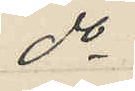do
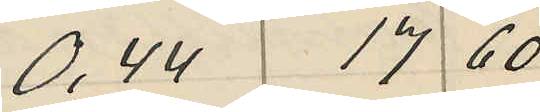0,44 17 60
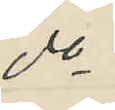do
